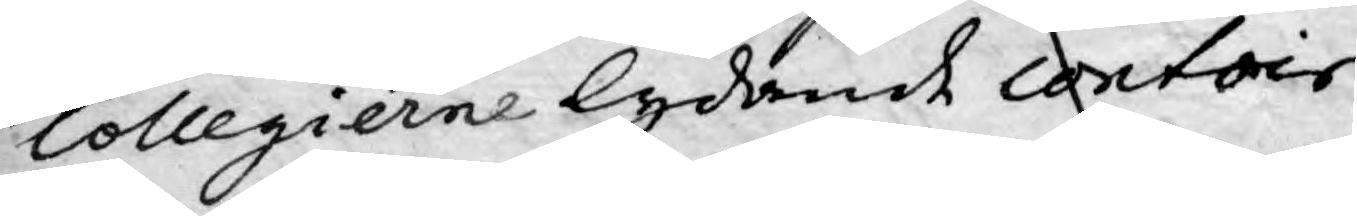Collegierne lydande contoir
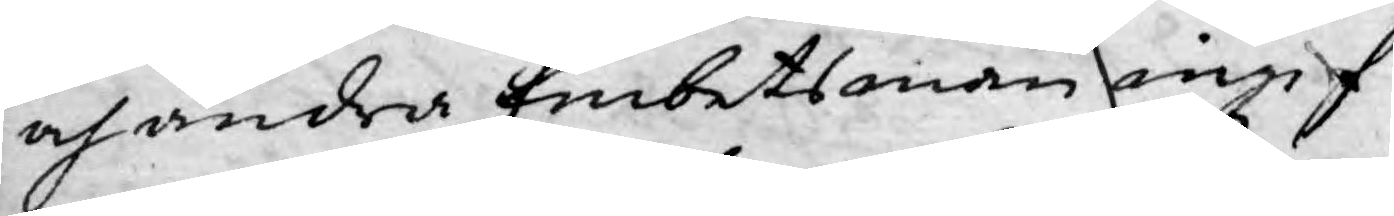och andra Embetsman ingif¬
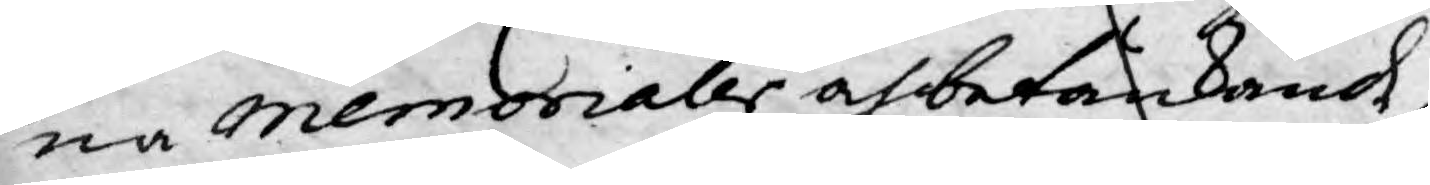na Memorialer och betänkande,
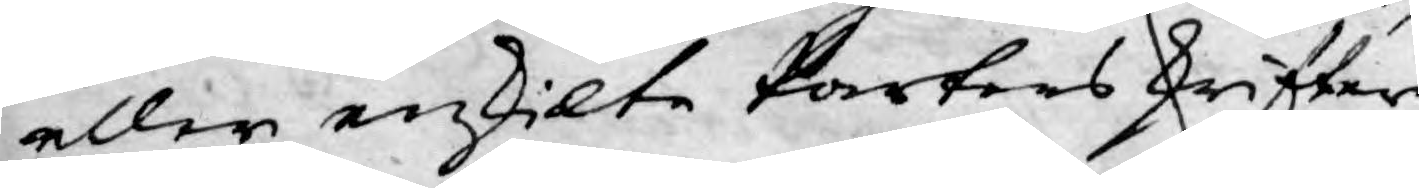eller enkilte Parters skrifter
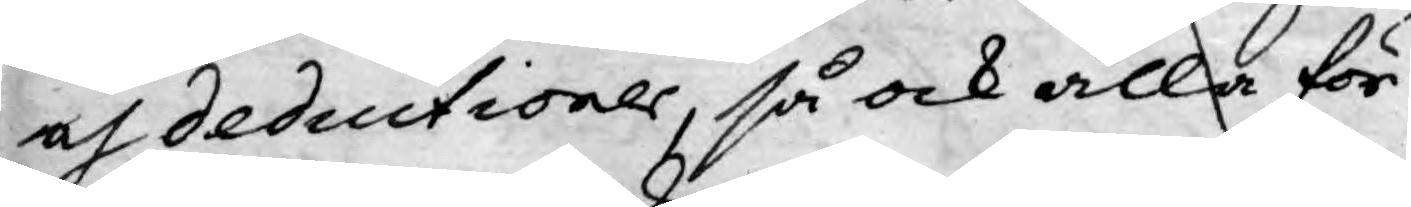och deductioner, så ock alla för
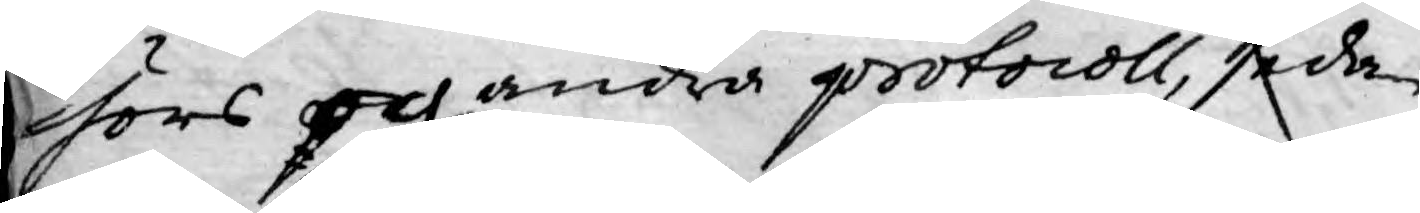hörs och andra protocoll, sedan
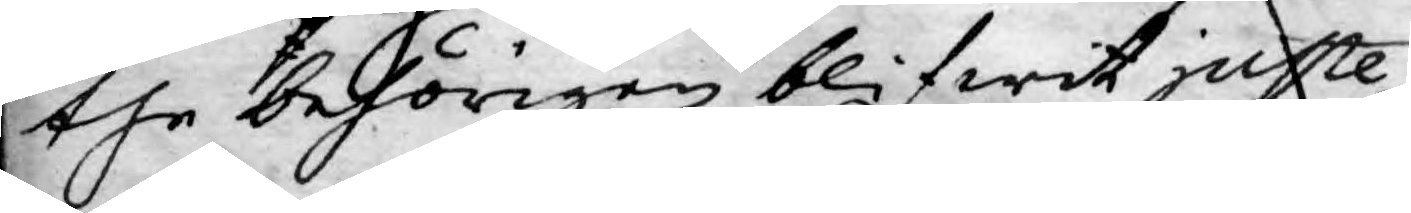the behörigen blifwit juste¬
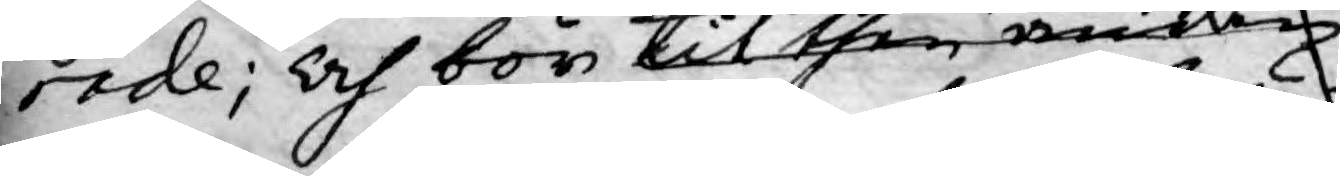rade; och bör til then änden
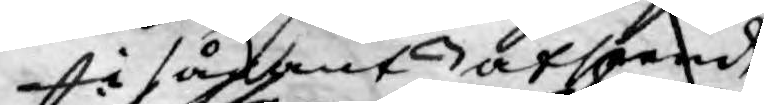i sådant afseende
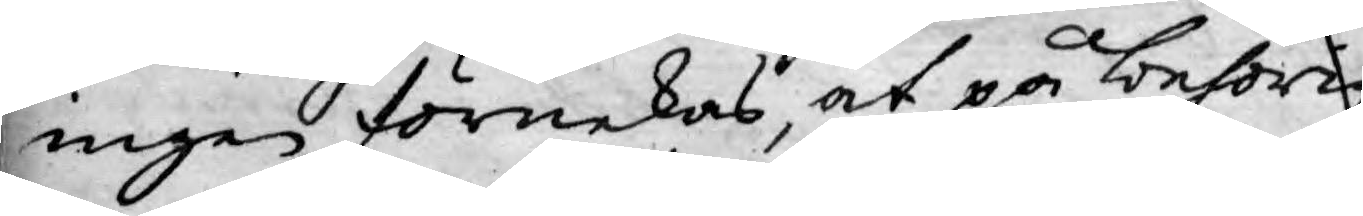ingen förnekas, at på behörig
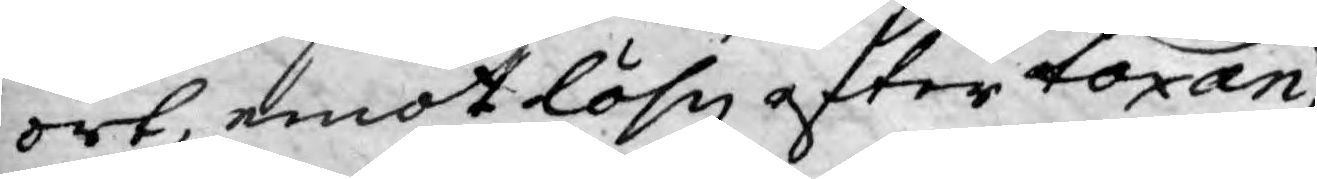ort, emot löhn efter taxan
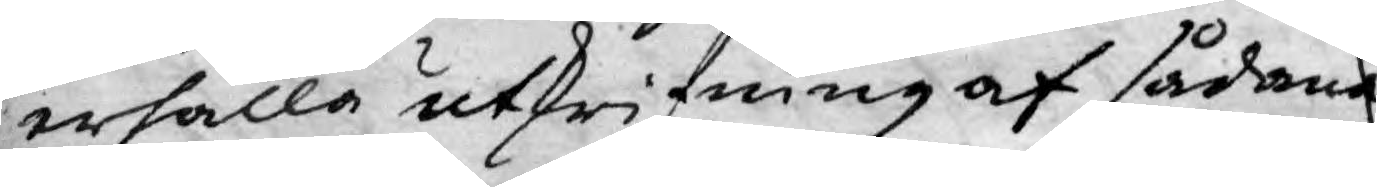erhålla utskrifning af sådana
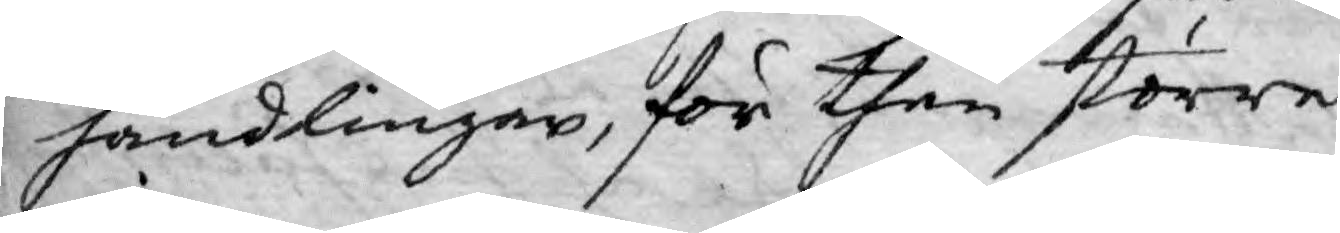handlingar, för then större
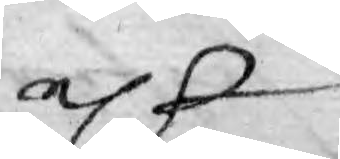elr
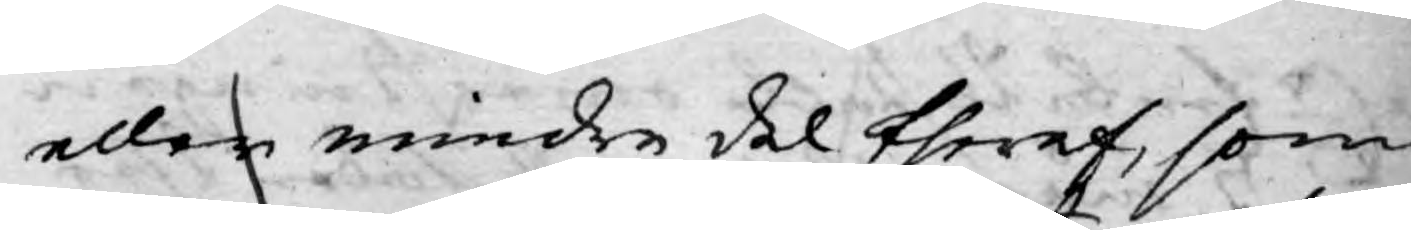eller mindre del theraf, som
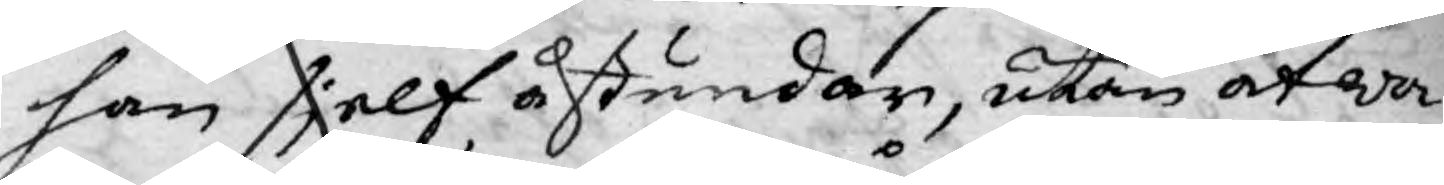han sjelf åstundar, utan at wa¬
